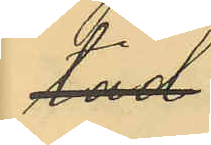tad.
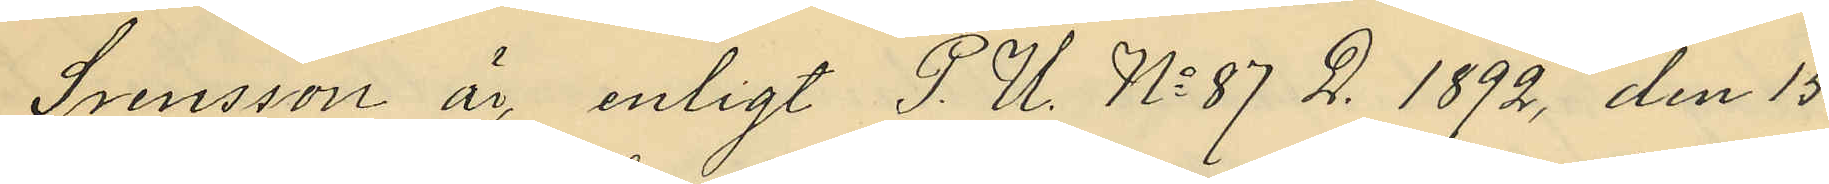Svensson är enligt P.U. No 87 D. 1892 den 15
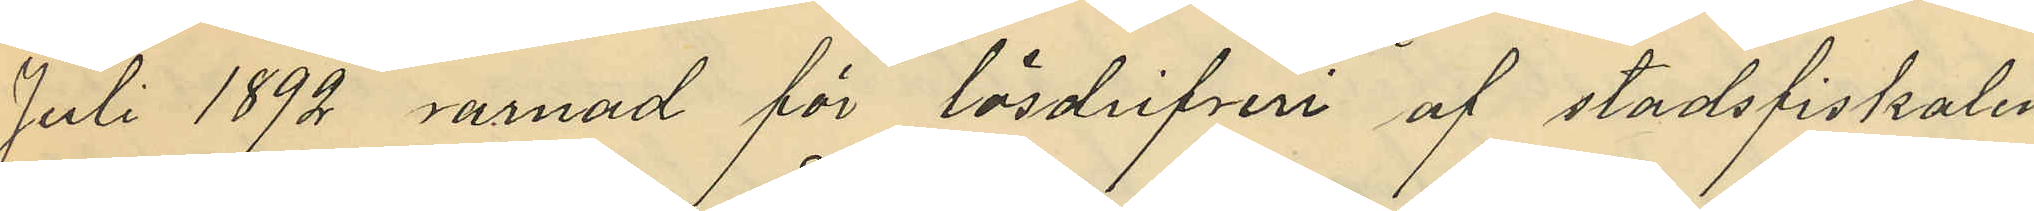Juli 1892 varnad för lösdrifveri af stadsfiskalen
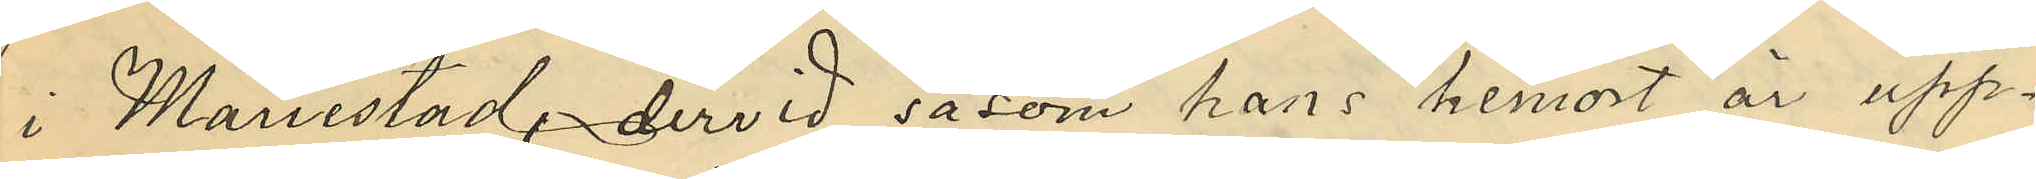i Mariestad, dervid såsom hans hemort är upp¬
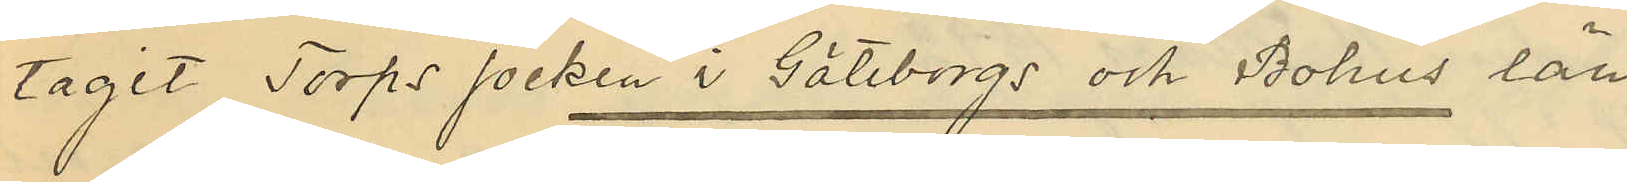tagit Torps socken i Göteborgs och Bohus län.
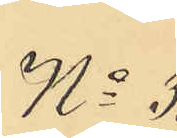No 3.
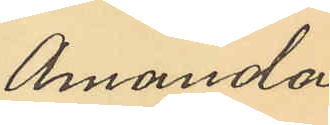Amanda
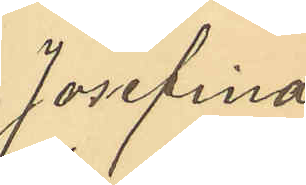Josefina
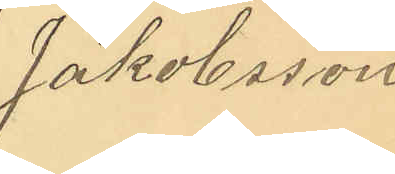Jakobsson
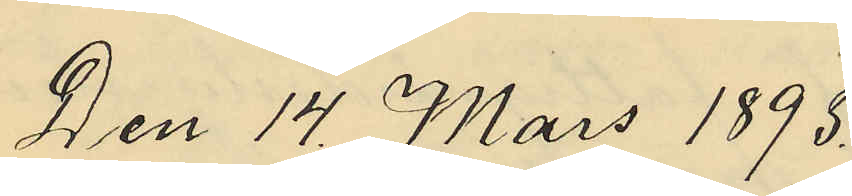Den 14 Mars 1893.
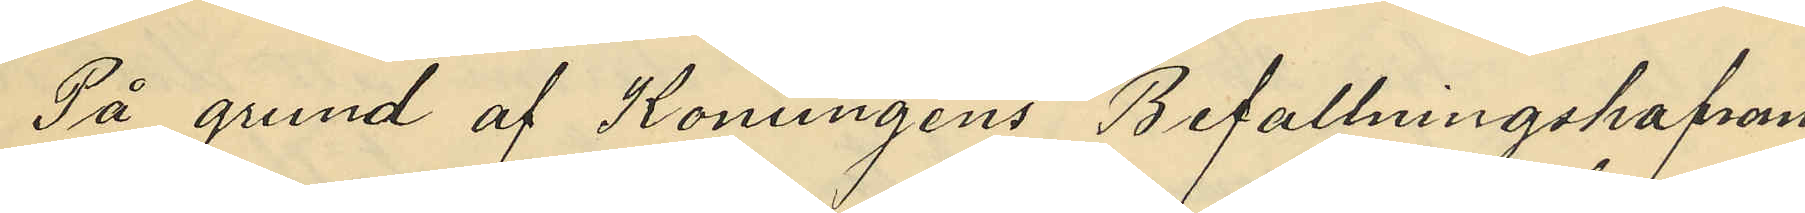På  grund af Konungens Befallningshafvan¬
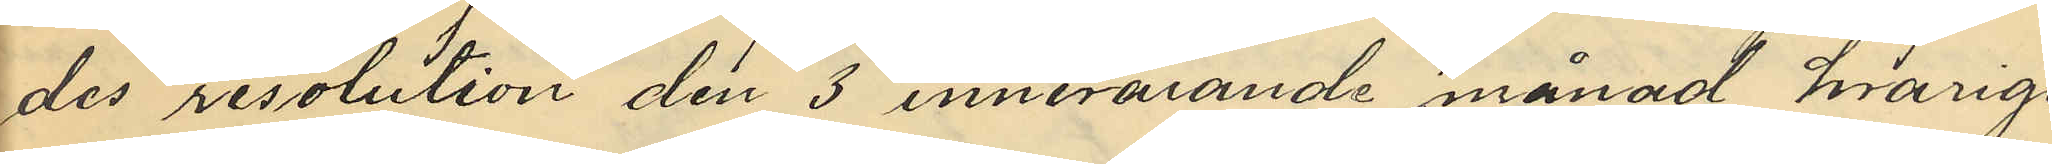des resolution den 3 innevarande månad hvarige¬
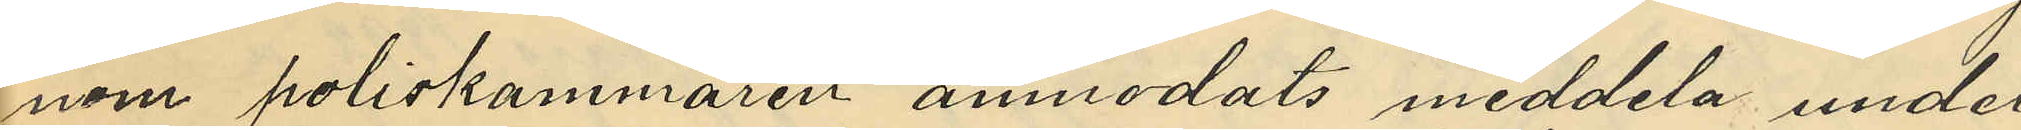nom poliskammaren anmodats meddela under
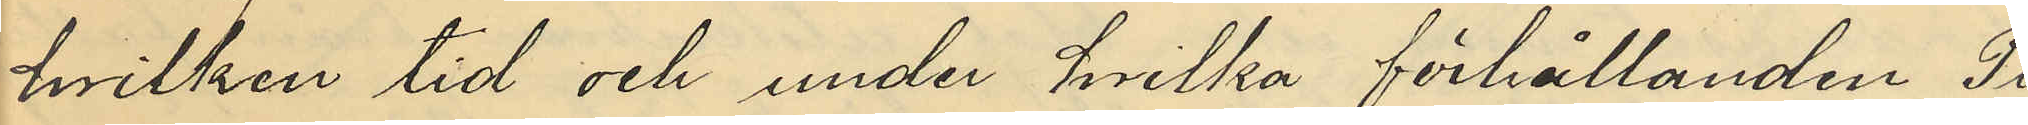hvilken tid och under hvilka förhållanden Pi¬
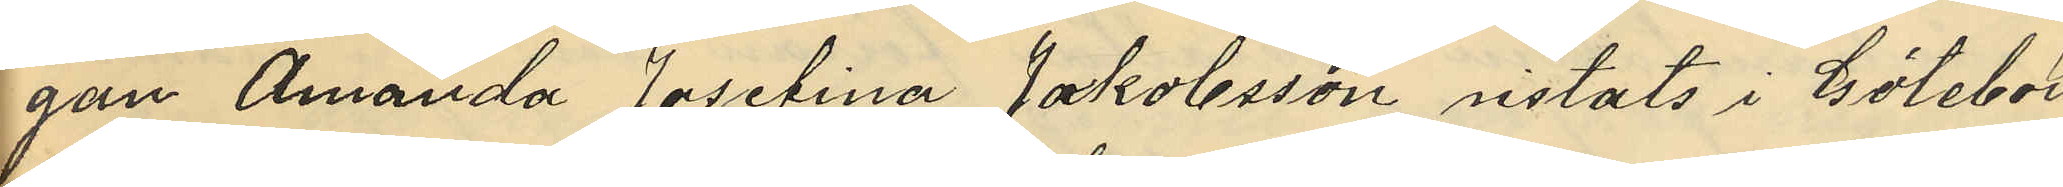gan Amanda Josefina Jakobsson vistats i Götebrog
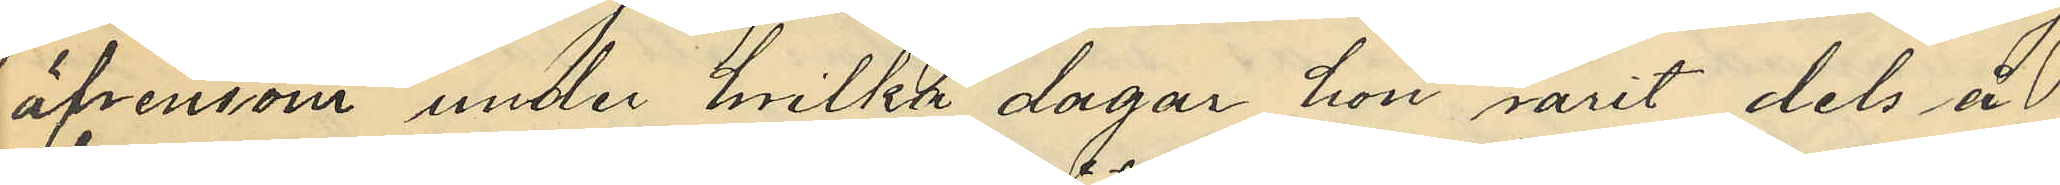äfvensom under hvilka dagar hon varit dels å
